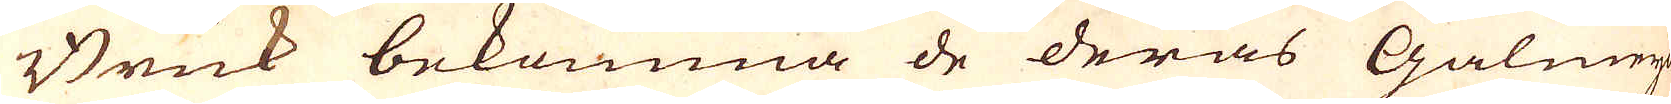Bruk bekomma de deras Galmeija
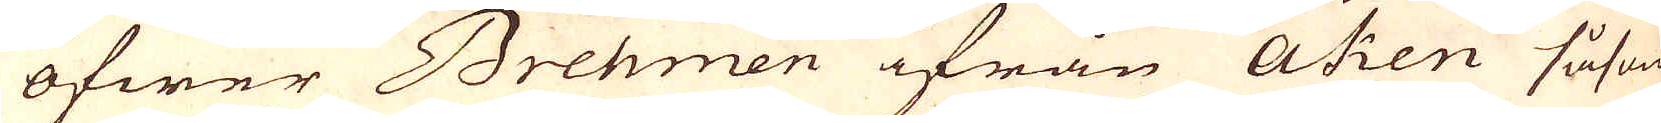öfwer Brehmen ifrån Aken såsom
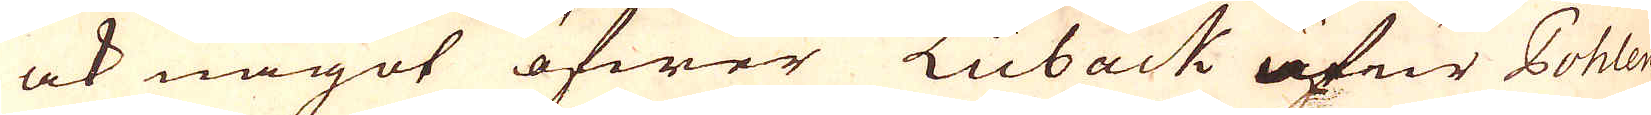ock något öfwer Lübäck utur Pohlen
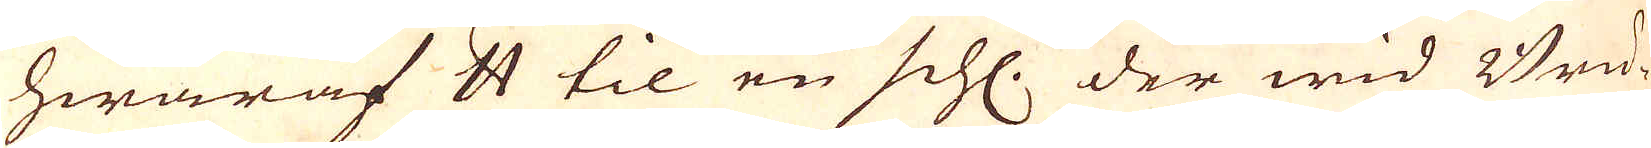hwaraf skålpund til en schl. der wid Bru-
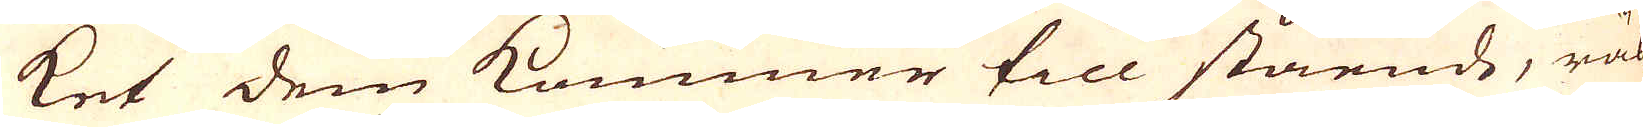ket dem kommer till stående, rä-
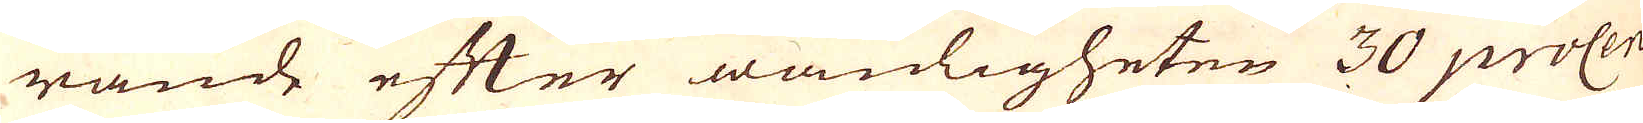nande efter wanligheten 30 procen-
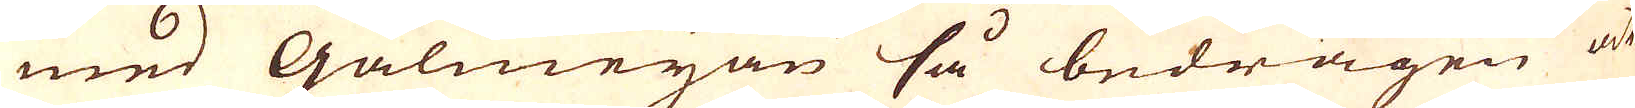med Galmeijan så bedragen at
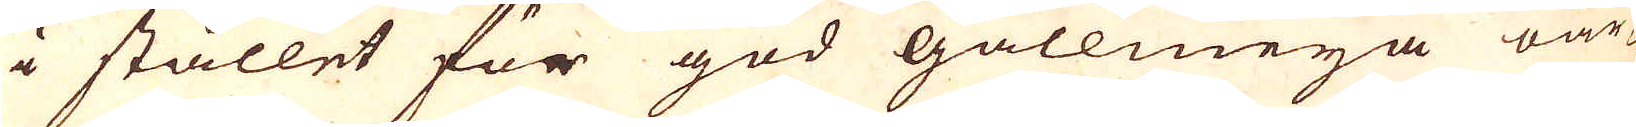i stället för god gallmeija oar-
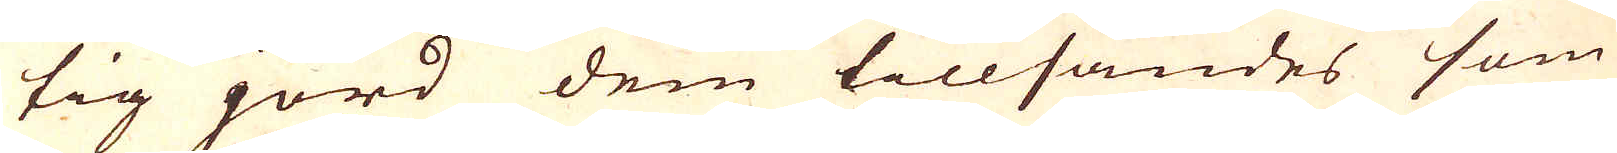tig jord dem tillsändes som
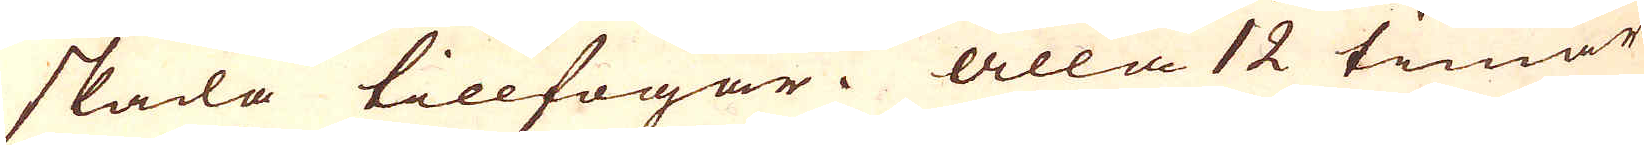skada tillfogar. Alla 12 timar
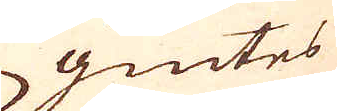giutes
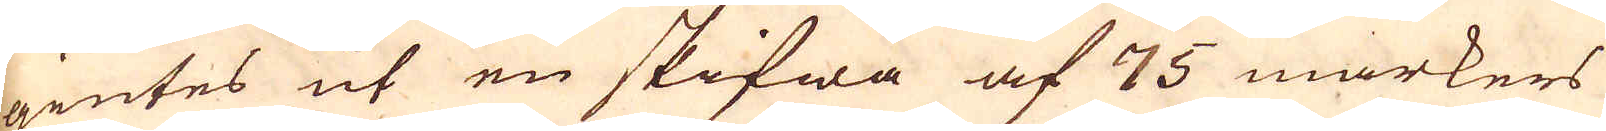giutes ut en skifwa af 75 markers
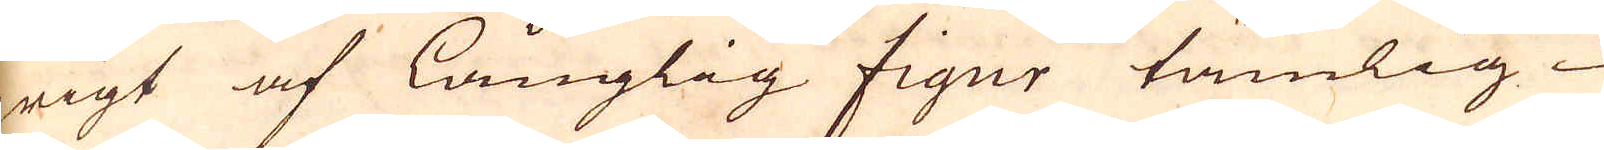wigt af långlig figur tämlig
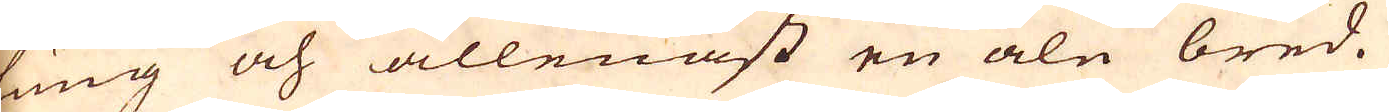tung och allenast en aln bred.
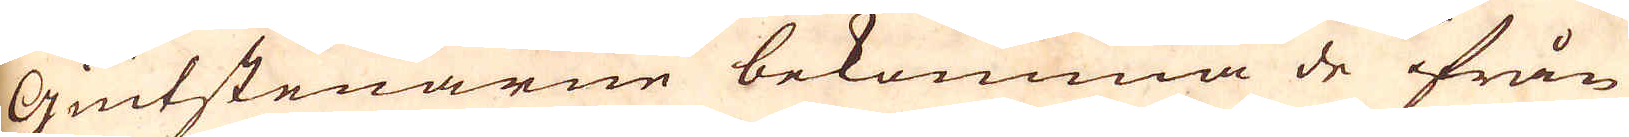Giutstenarne bekomma de ifrån
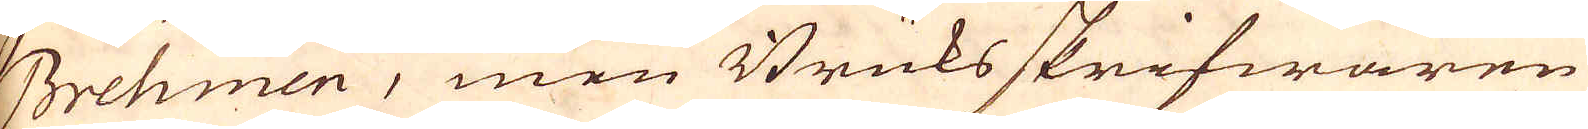Brehmen, men Bruksskrifwaren
